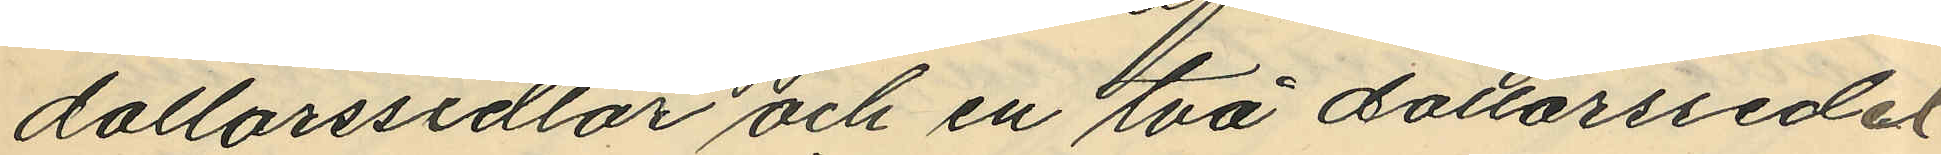dollarssedlar och en två dollarssedel;
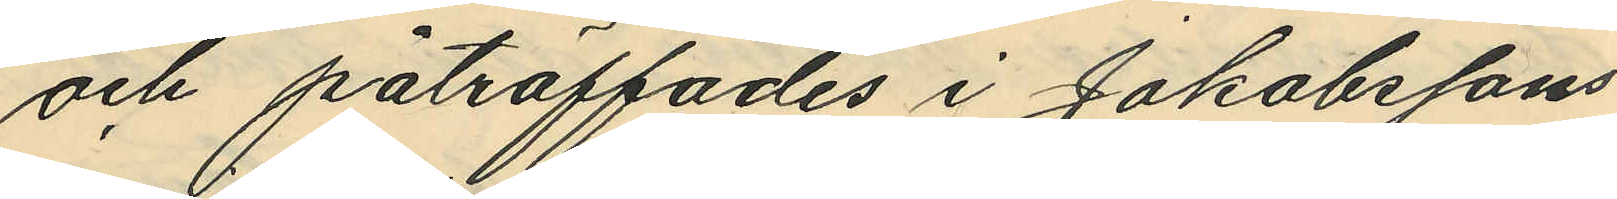och påträffades i Jakobssons
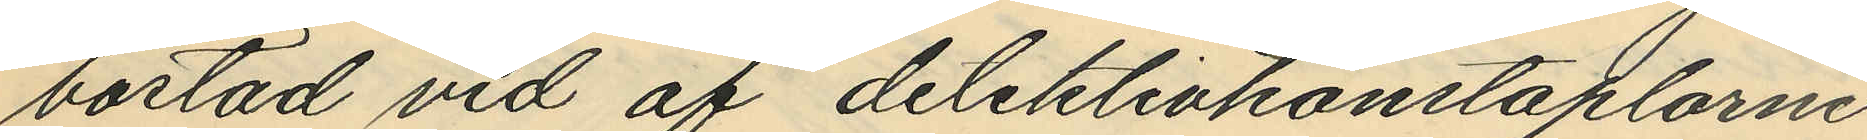bostad vid af detektivkonstaplarne
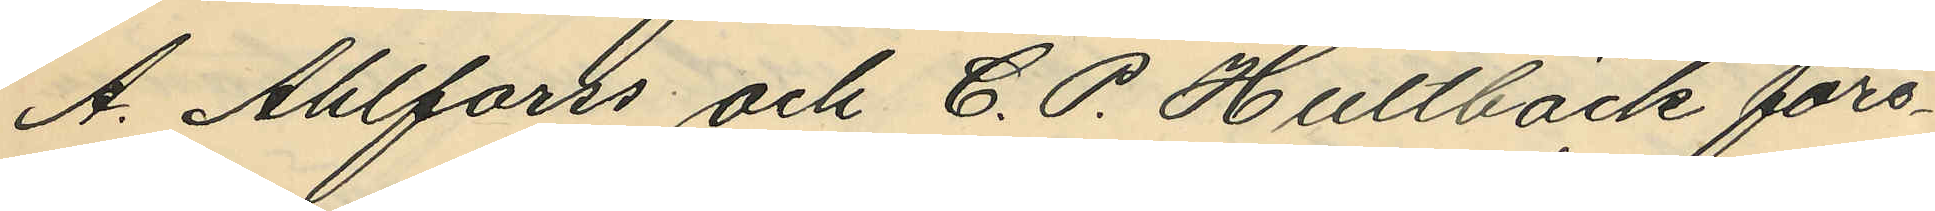A. Ahlforss och C. P. Hultbäck före¬
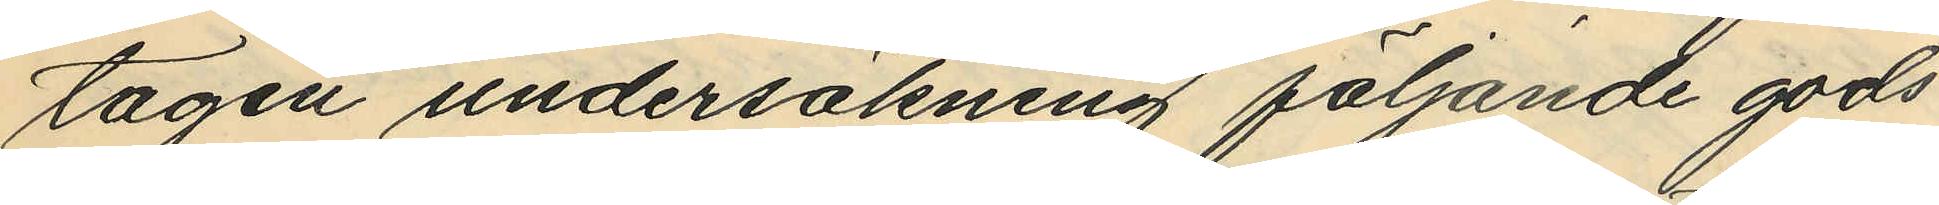tagen undersökning följande gods
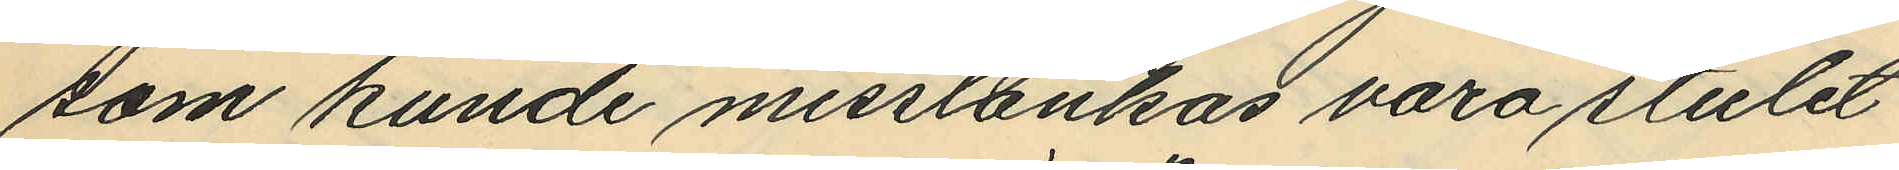som kunde misstänkas vara stulet
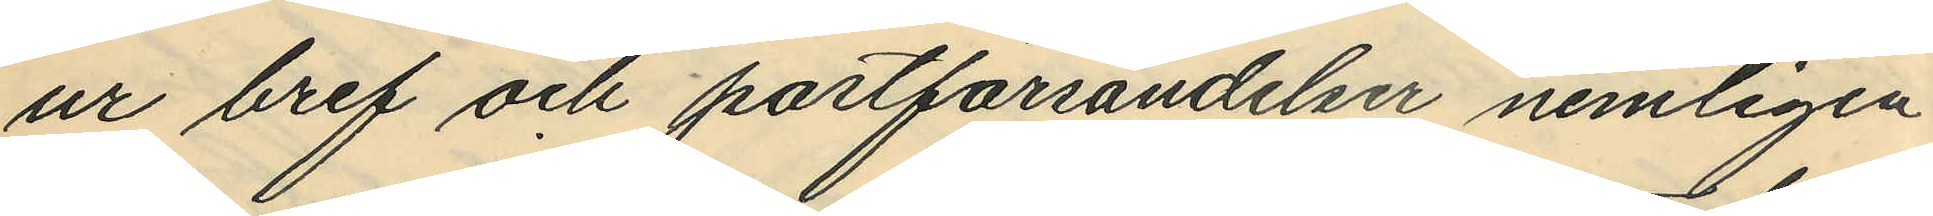ur bref och postförsändelser nemligen
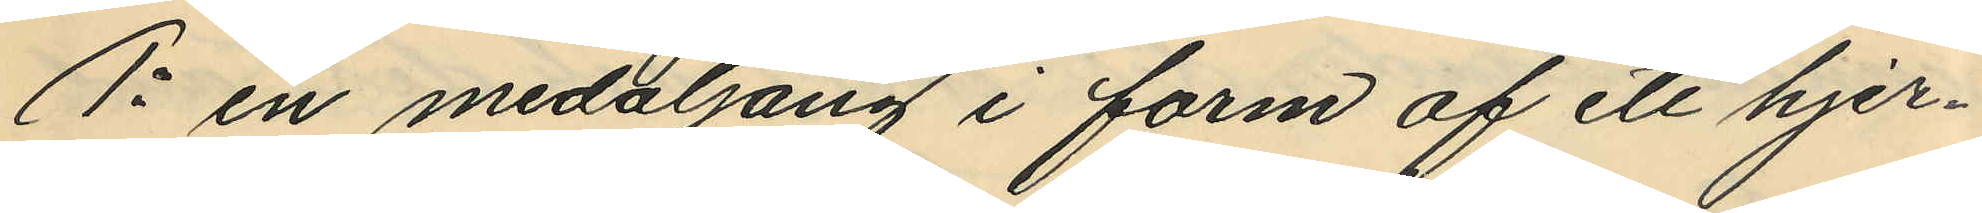1o en medaljong i form af ett hjer¬
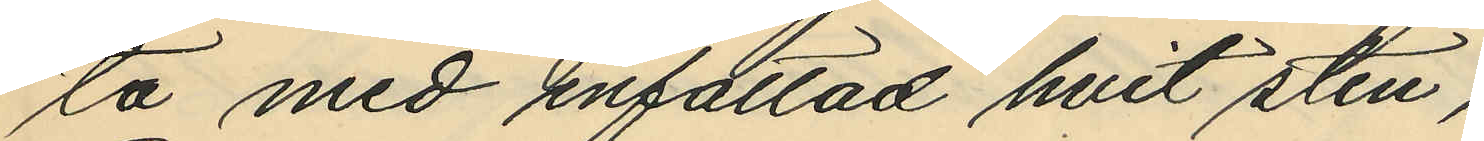ta med infattad hvit sten,
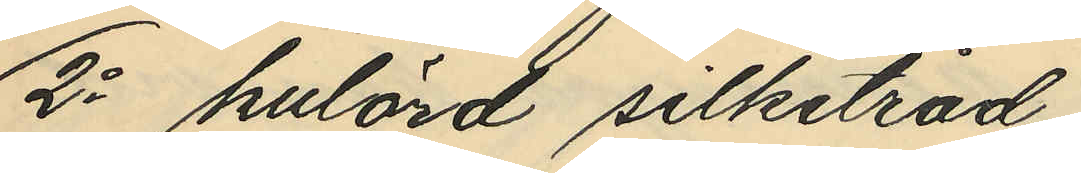2o kulörd silketråd,
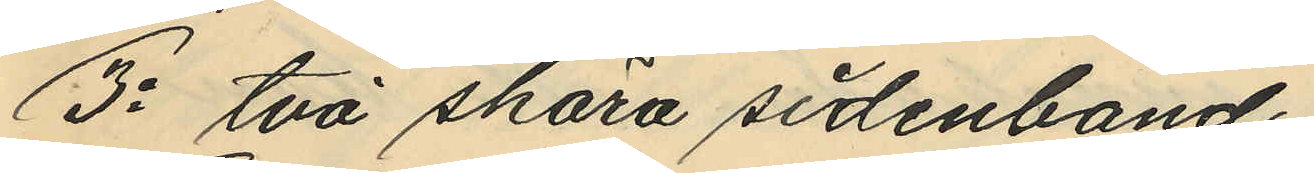3o två skära sidenband,
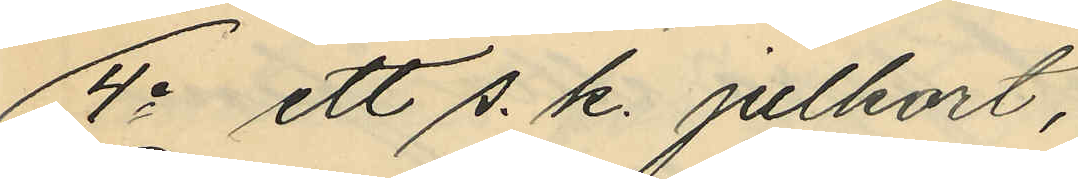4o ett s. k. julkort,
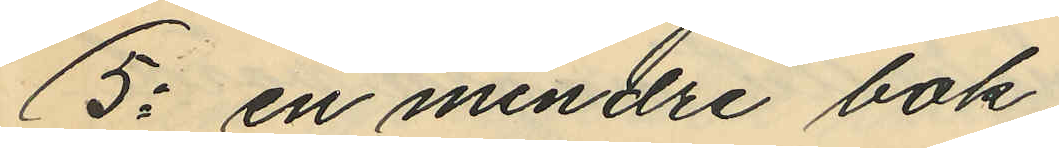5o en mindre bok,
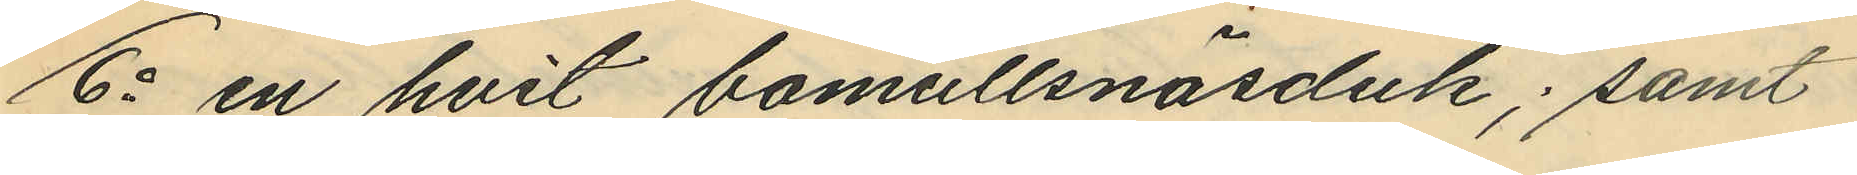6o en hvit bomullsnäsduk; samt
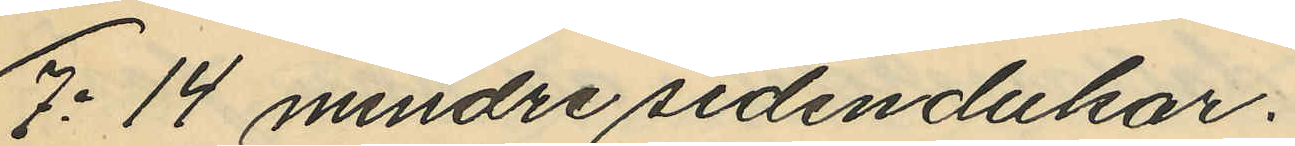7o 14 mindre sidendukar;
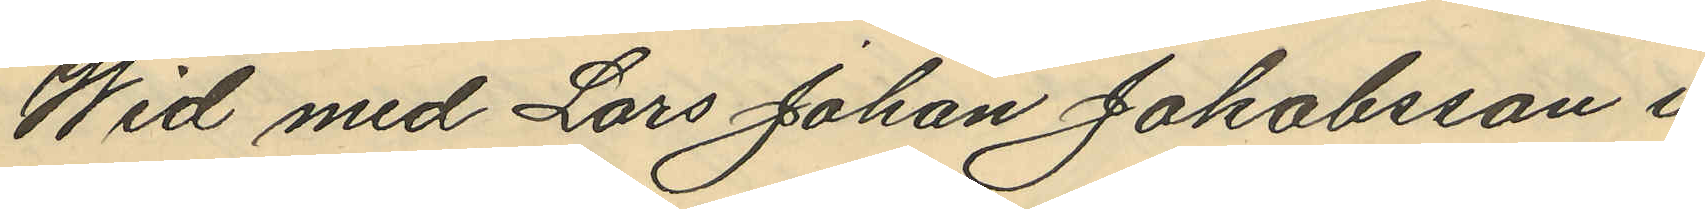Wid med Lars Johan Jakobsson i
